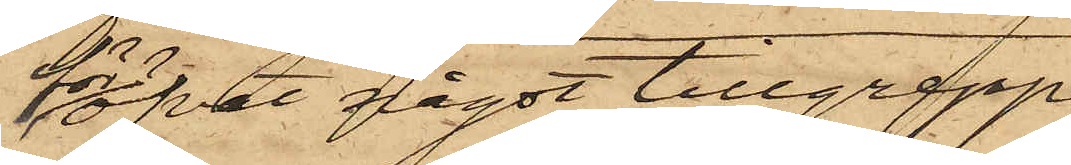föröfvat något tillgrepp
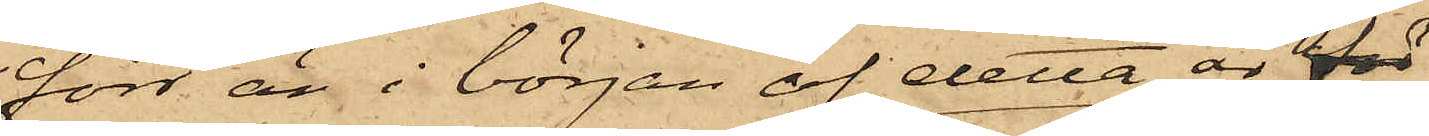förr än i början af detta år för
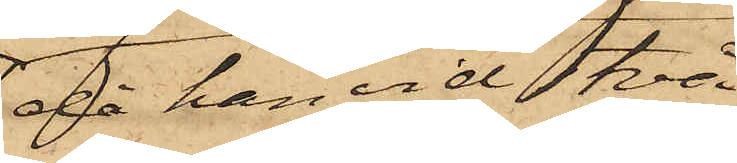då han vid två
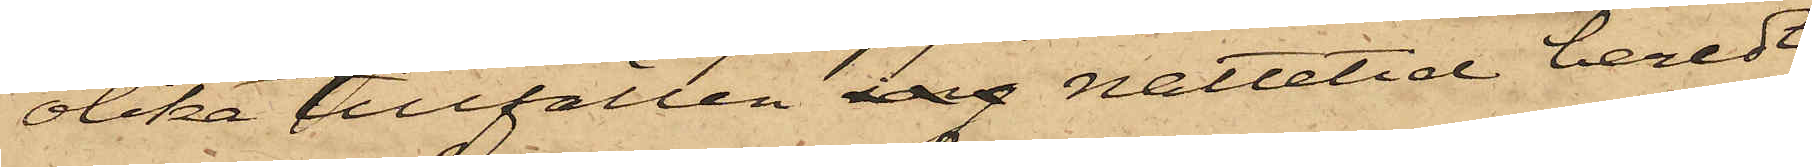olika tillfällen nattetid beredt
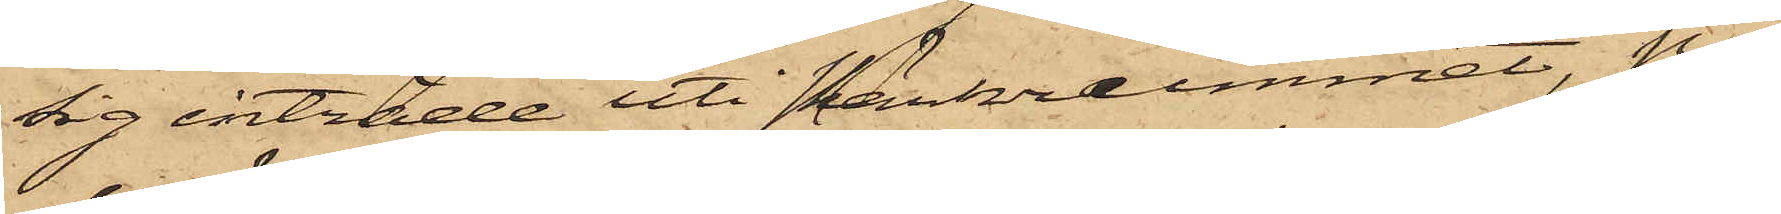sig inträde uti skänkrummet på
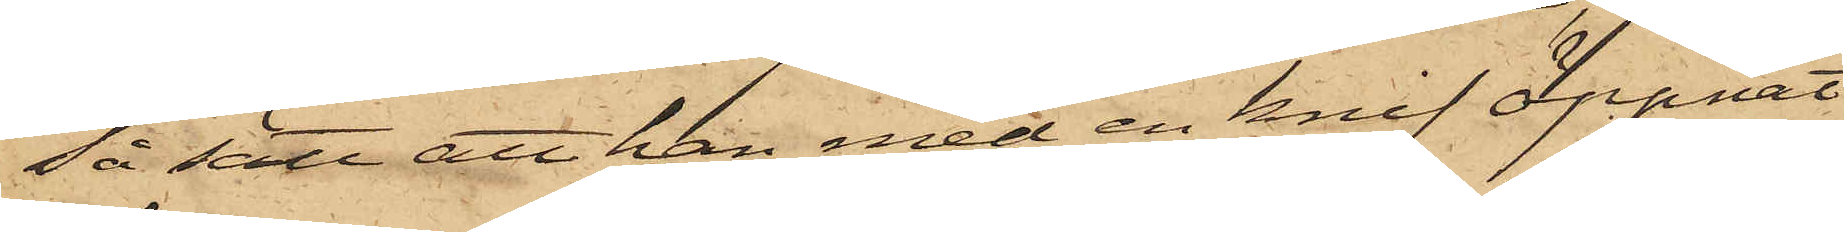så sätt att han med en knif öppnat
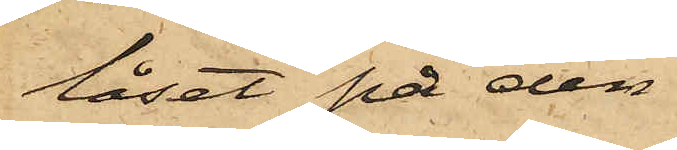låset på den
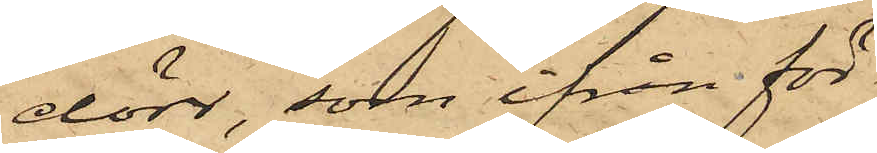dörr, som ifrån för¬
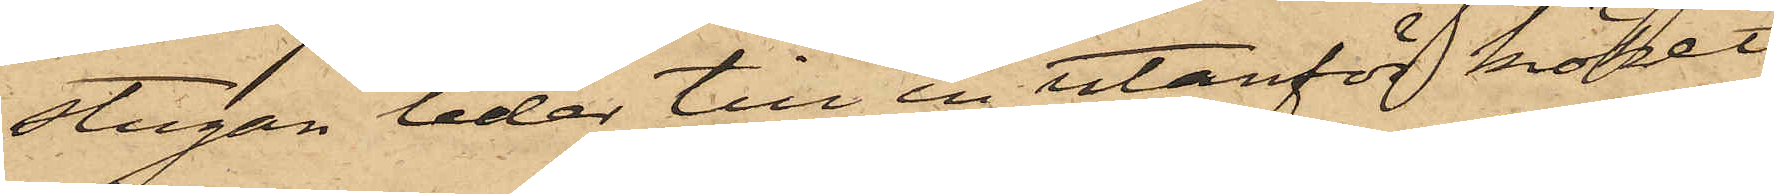stugan leder till en utanför köket
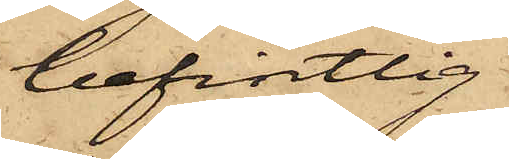befintlig
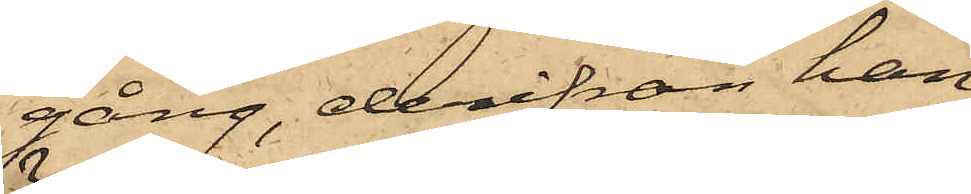gång, derifrån han
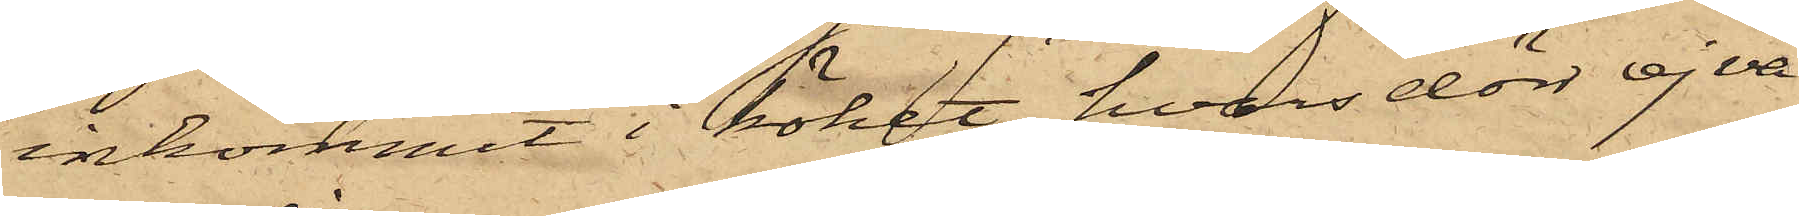inkommit i köket, hvars dörr ej va¬
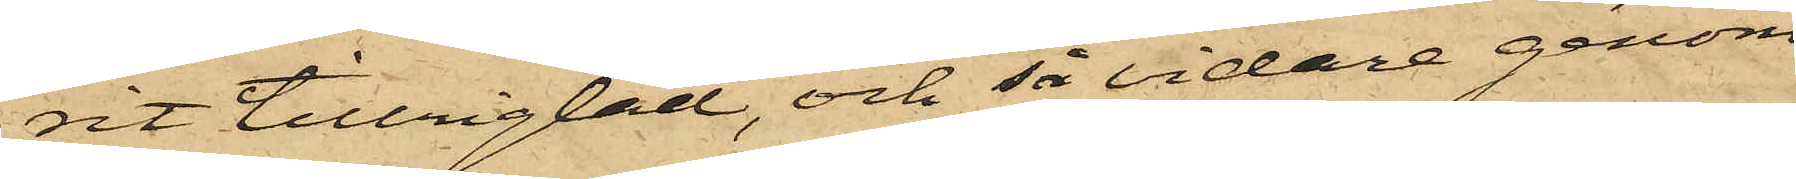rit tillrigtad, och så vidare genom
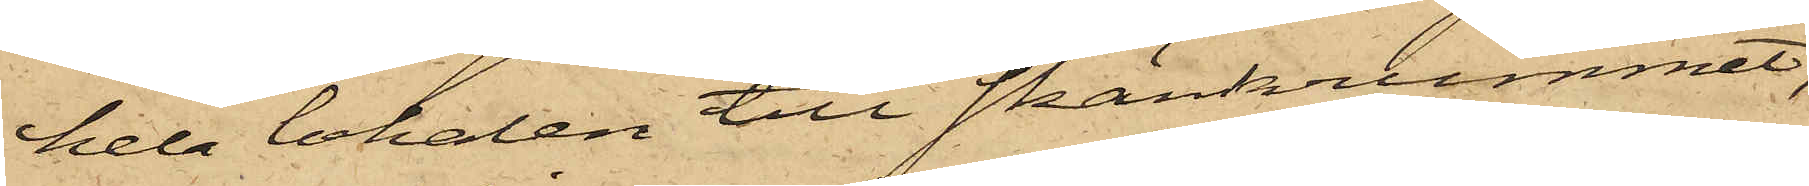hela lokalen till skänkrummet,
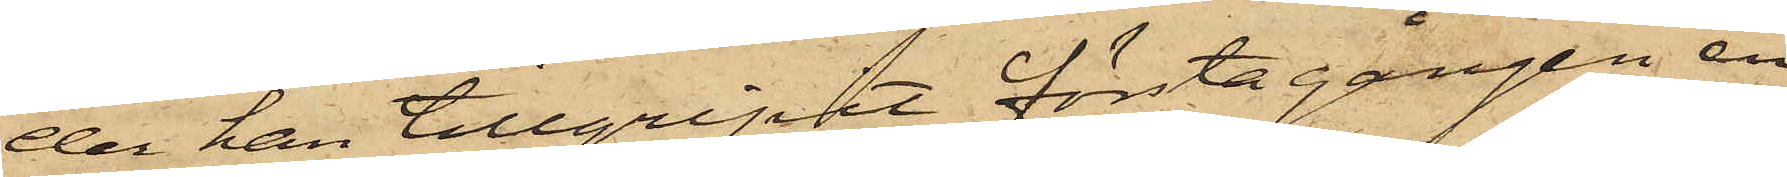der han tillgripit första gången en
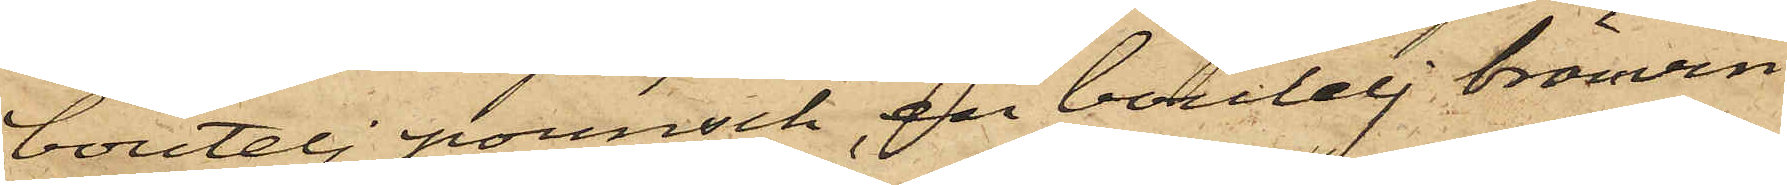boutelj pounsch, en boutelj bränvin
